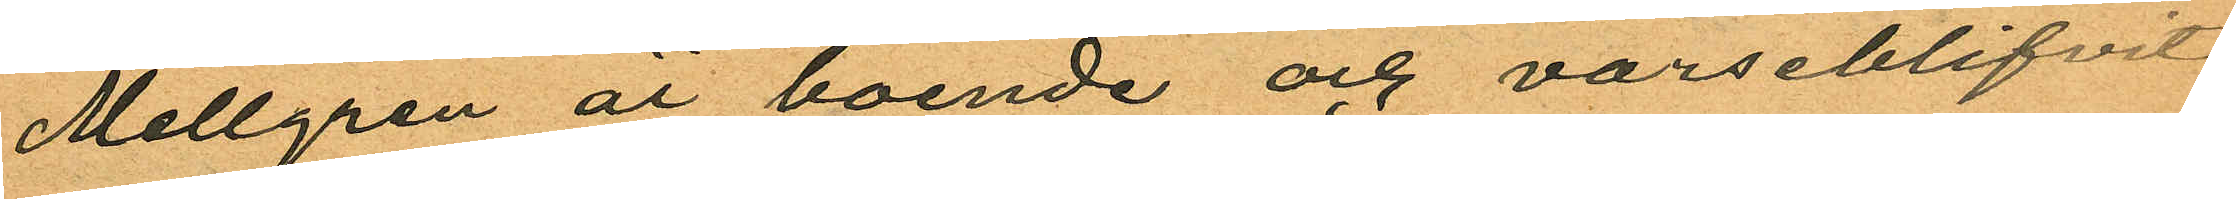Mellgren är boende och varseblifvit
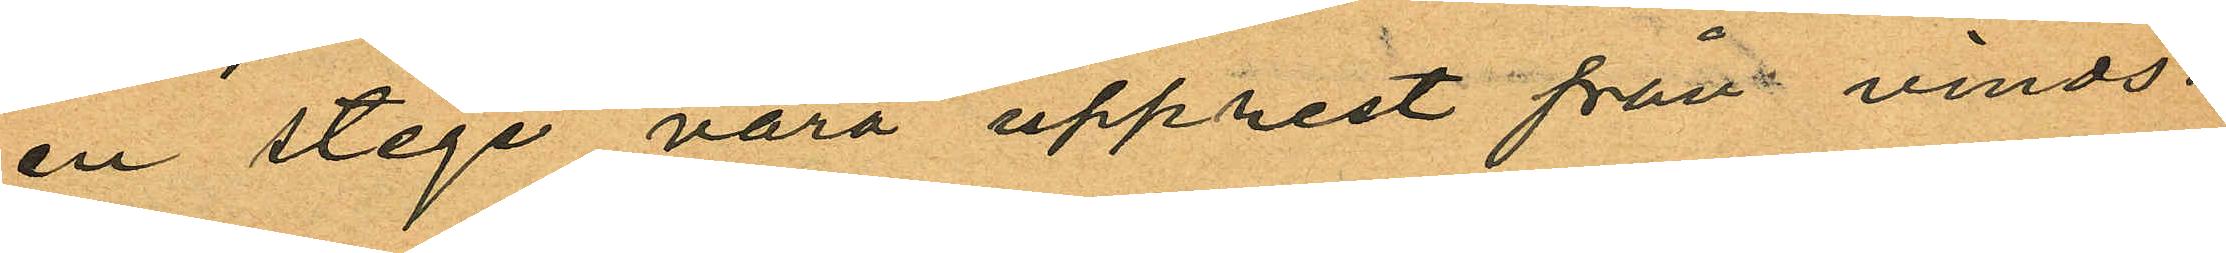en stege vara upprest från vinds¬
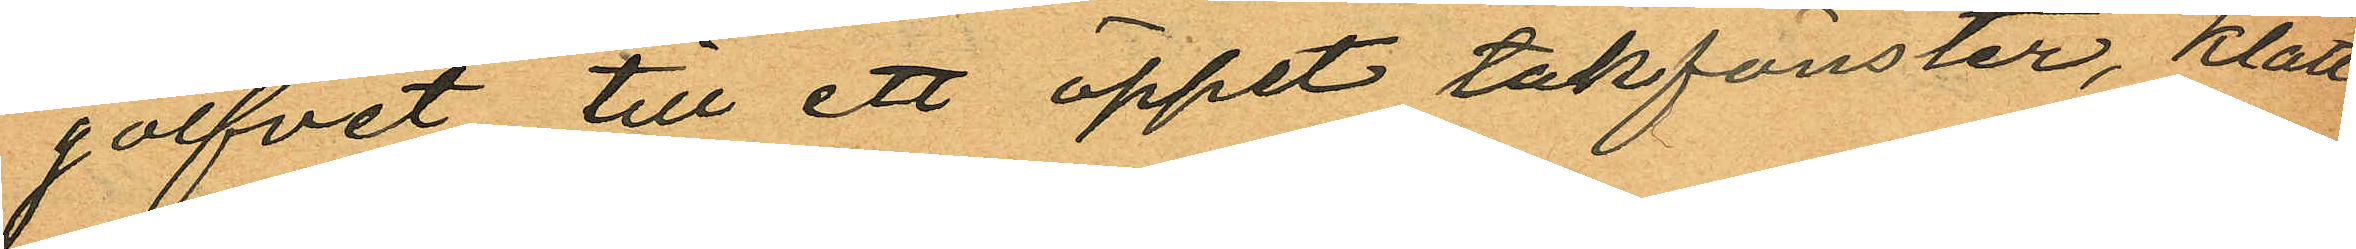golfvet till ett öppet takfönster, klätt¬
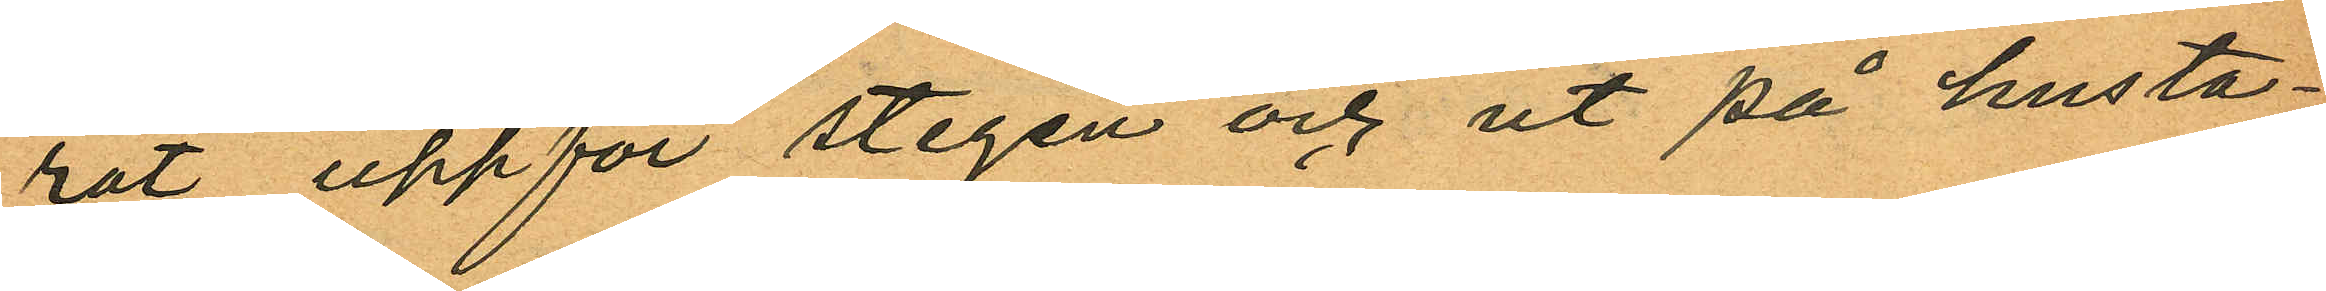rat uppför stegen och ut på husta¬
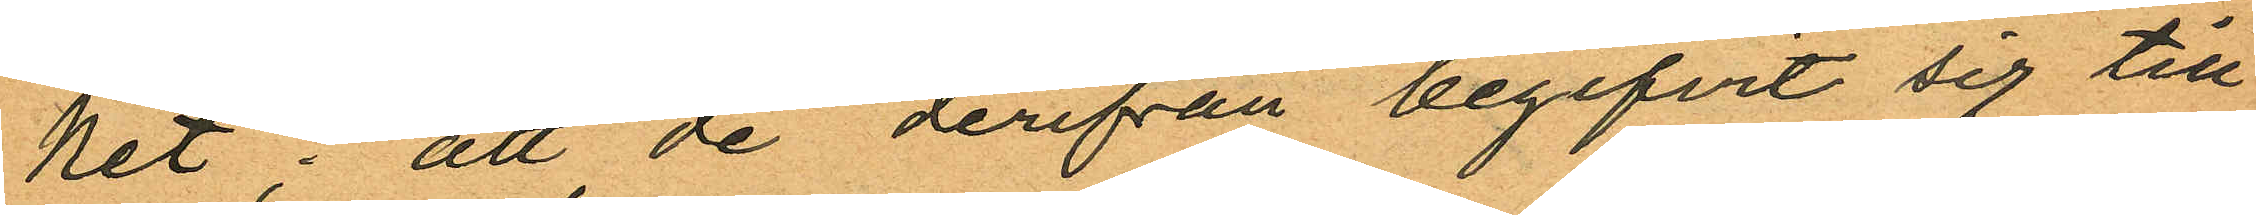ket; att de derifrån begifvit sig till
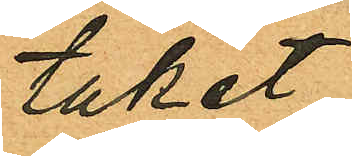taket
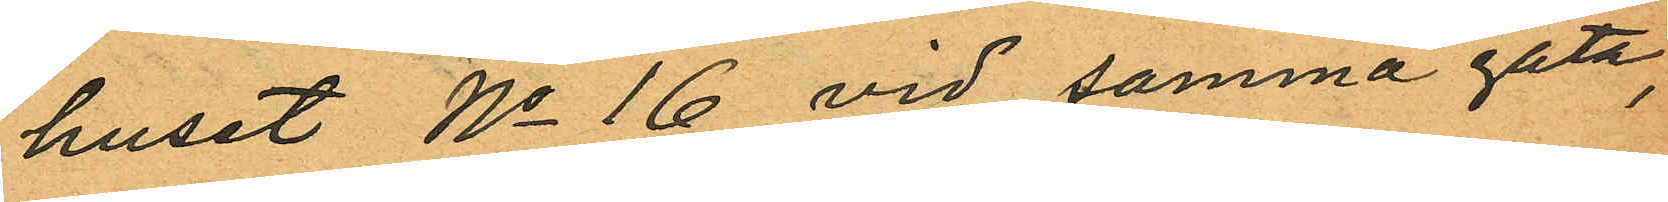huset No 16 vid samma gata,
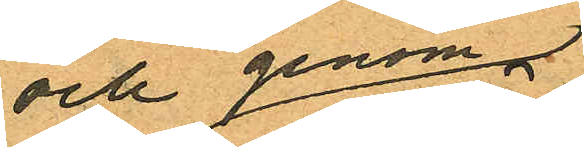och genom
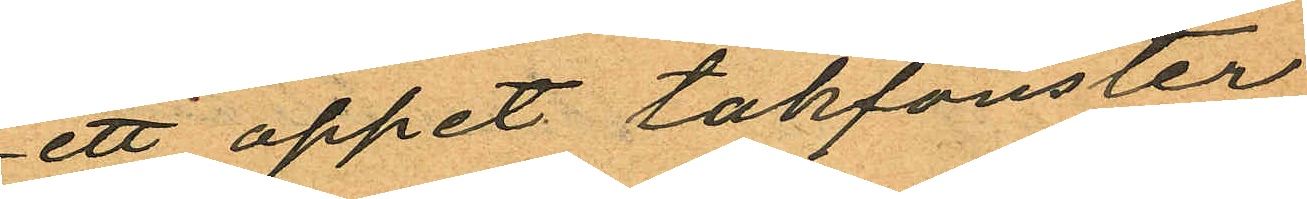ett öppet takfönster
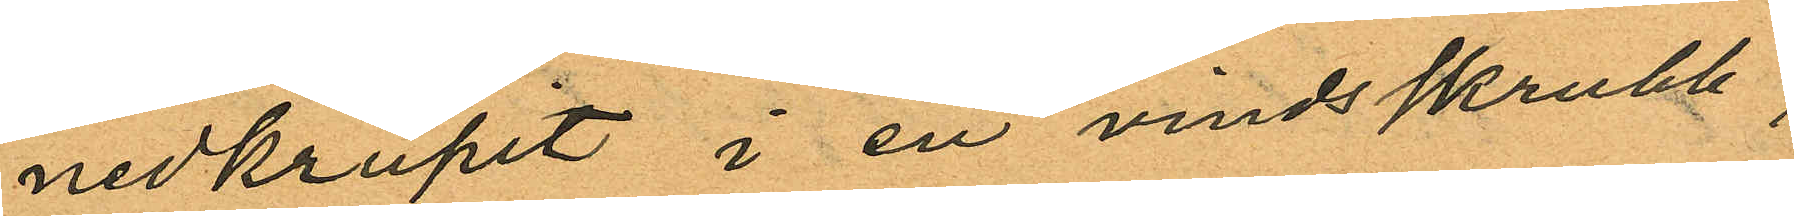nedkrupit i en vindsskrubb,
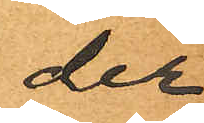der
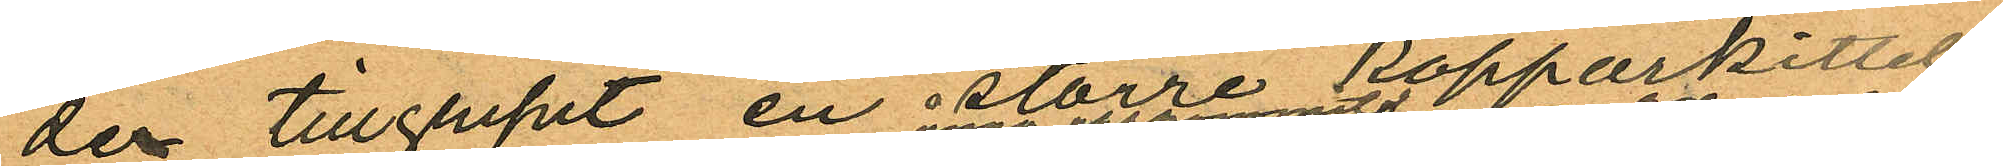der tillgripit en större kopparkittel
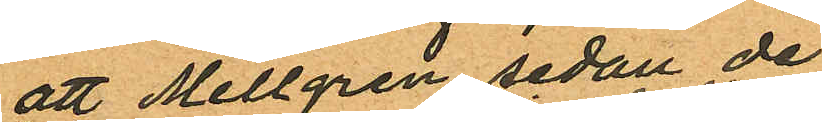att Mellgren sedan de
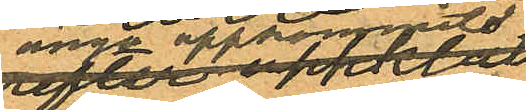ånyo upphoppat
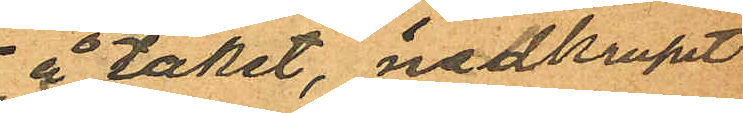å taket, nedkrupit
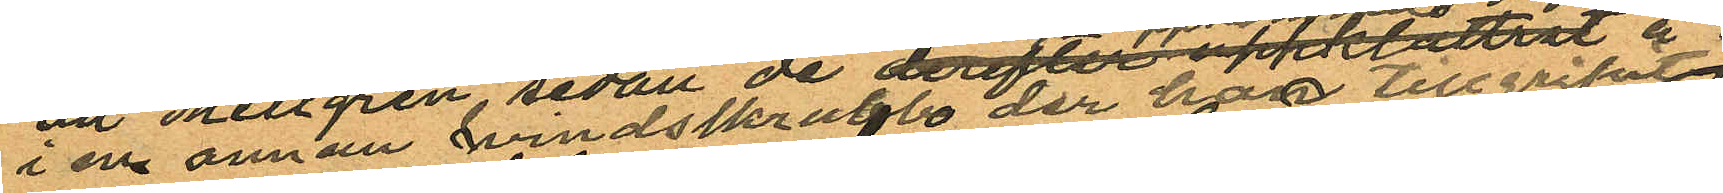i en annan vindsskrubb der han tillgripit
